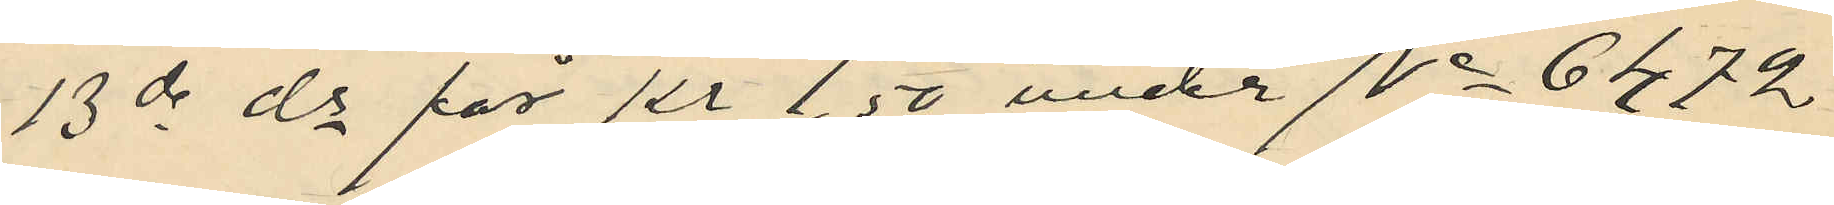13de ds för Kr 1,50 under No 6472
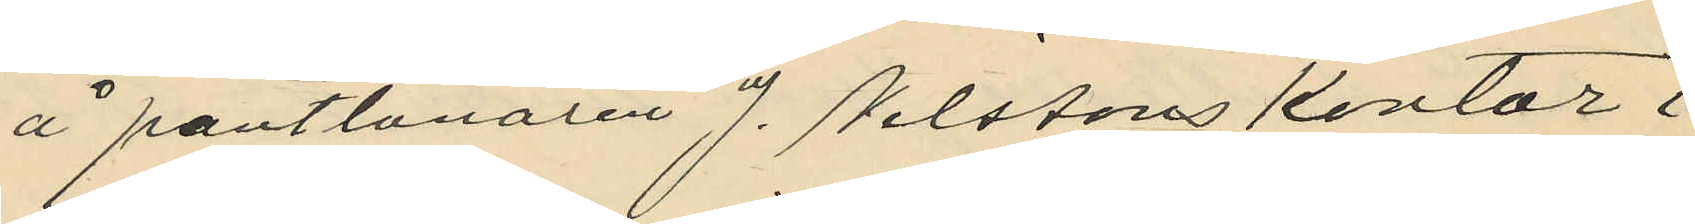å pantlånaren J. Nilssons kontor i
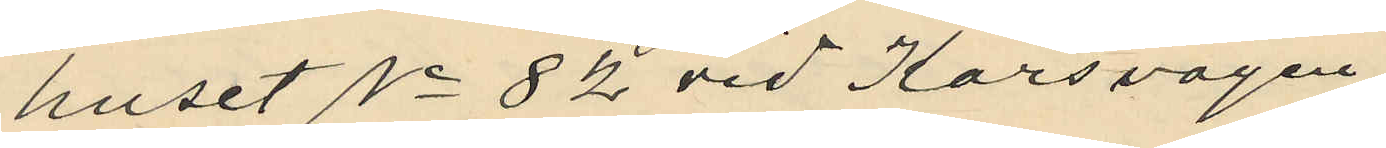huset No 82 vid Korsvägen
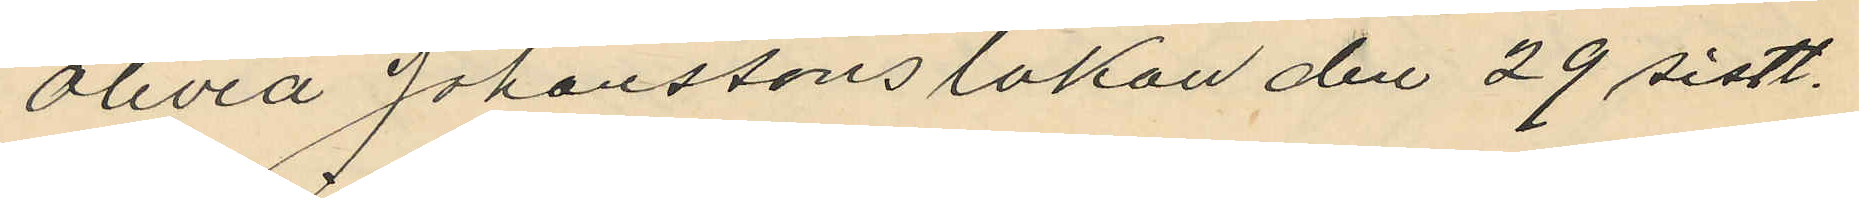Olivia Johanssons lakan den 29 sistl.
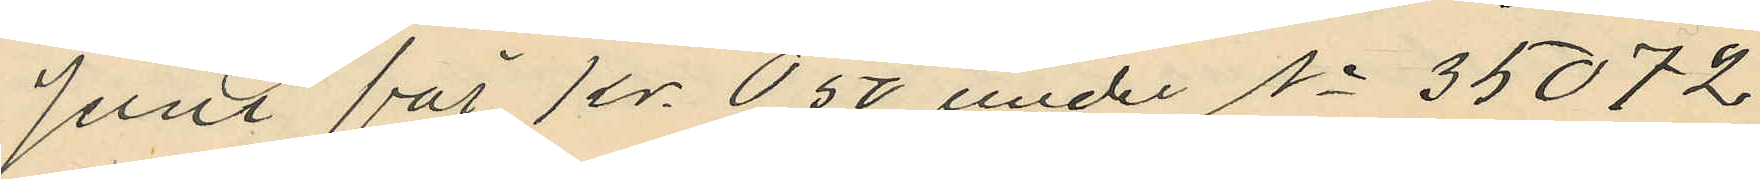Juni för Kr. 0,50 under No 35072
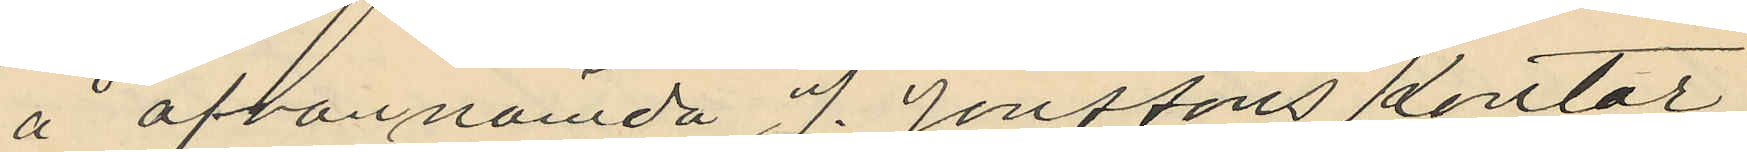å ofvannämda J. Jonssons kontor
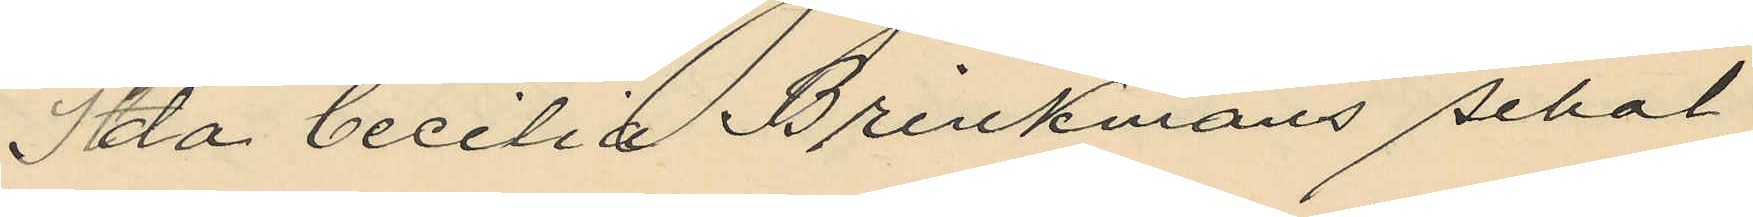Ida Cecilia Brinkmans schal
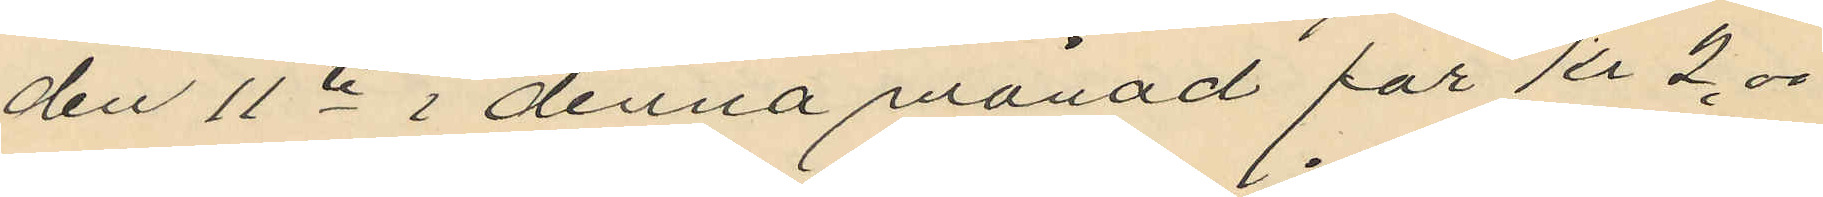den 11te i denna månad för Kr 2.00
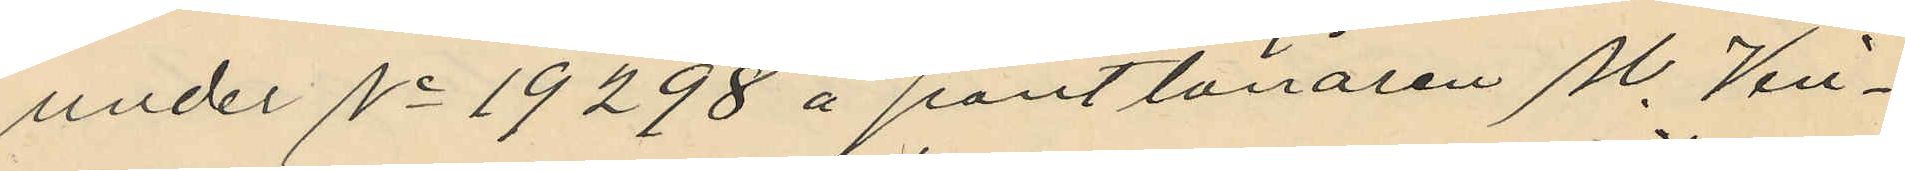under No 19298 å pantlånaren M. Vin¬
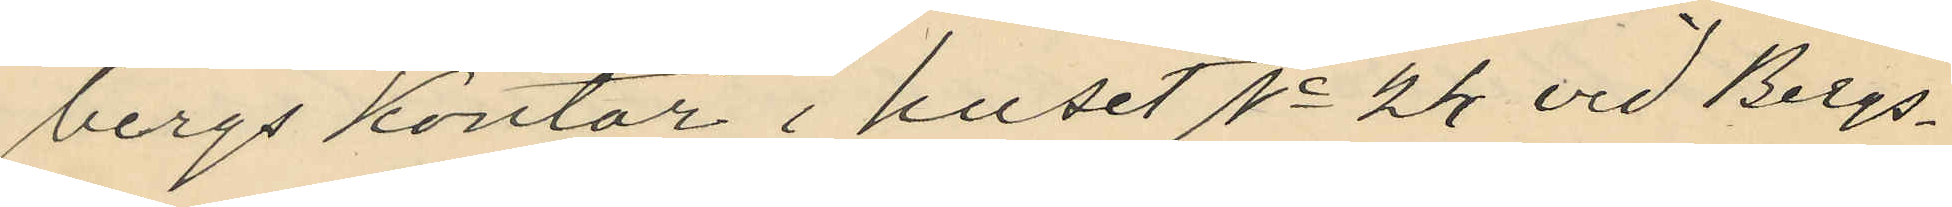bergs kontor i huset No 24 vid Bergs¬
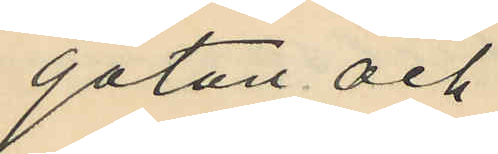gatan och
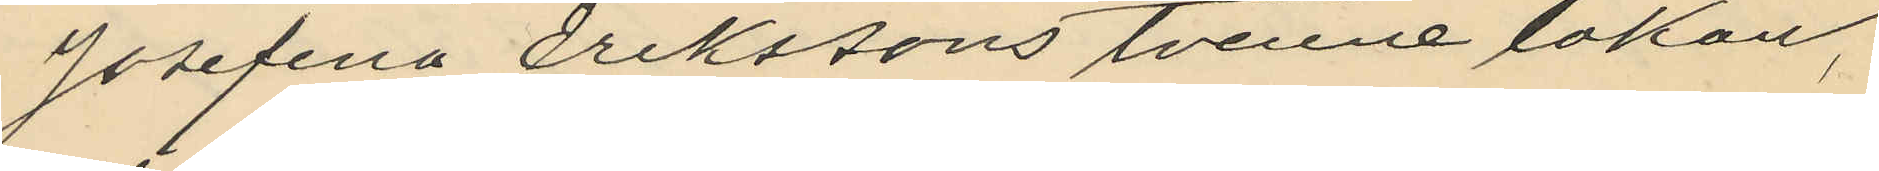Josefina Erikssons tvenne lakan,
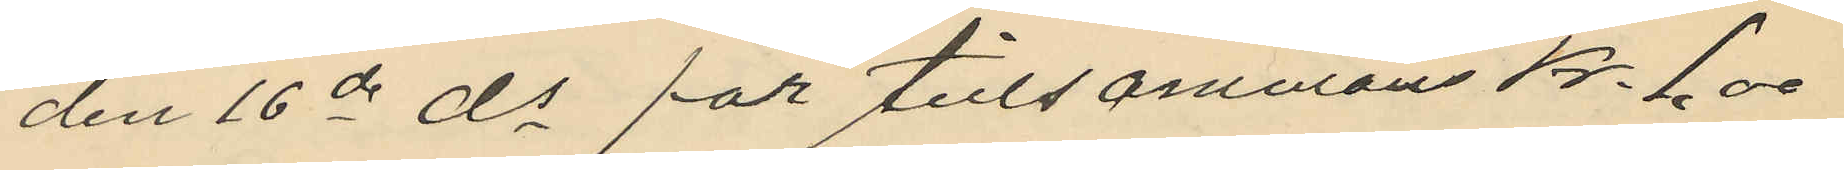den 16de ds för tillsammans Kr. 1.00
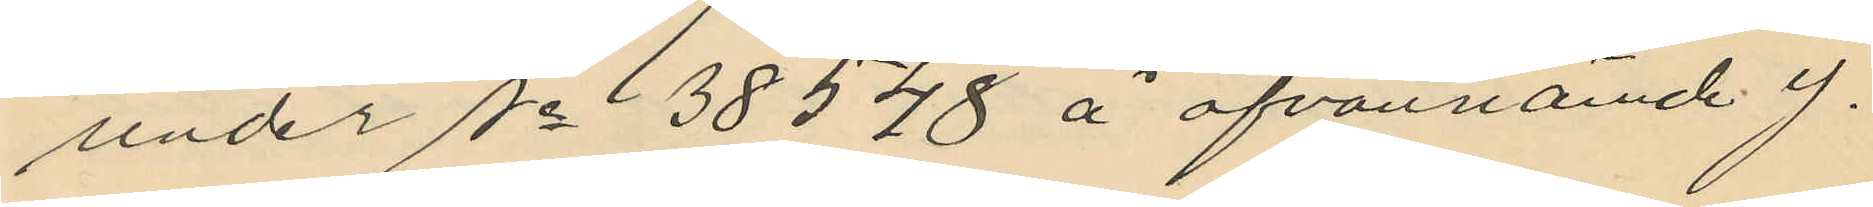under No 38548 å ofvannämde J.
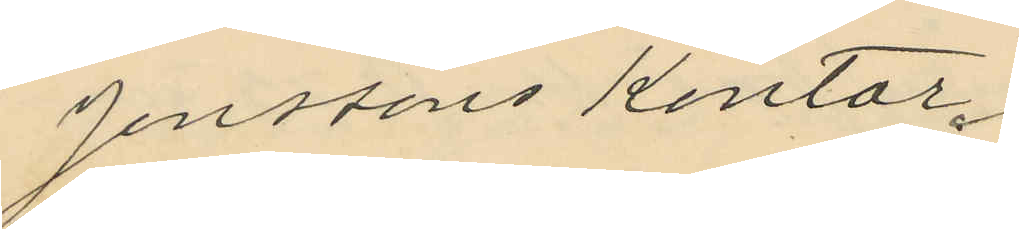Jonssons kontor.
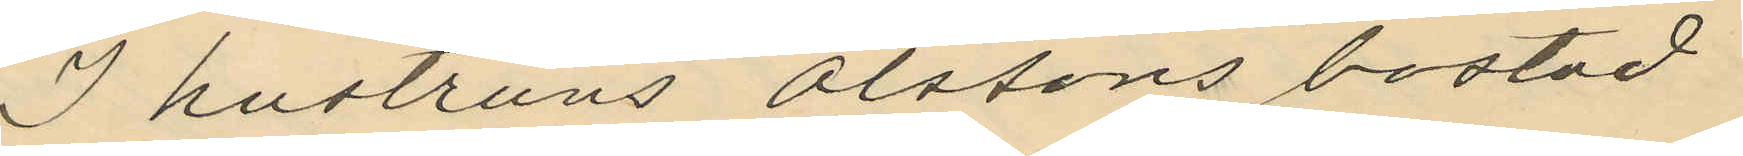I hustruns Olssons bostad
